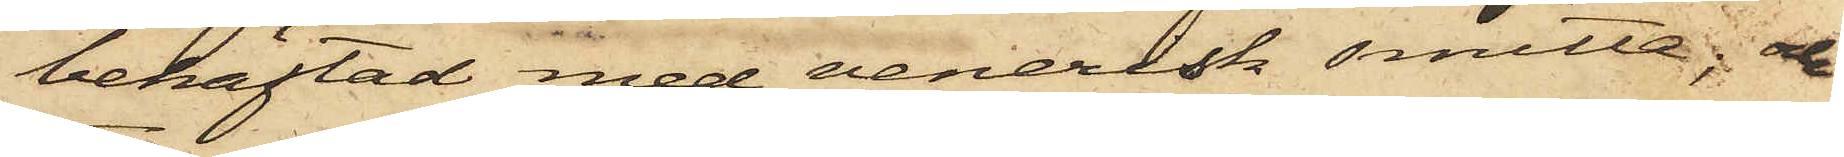behäftad med venerisk smitta; och
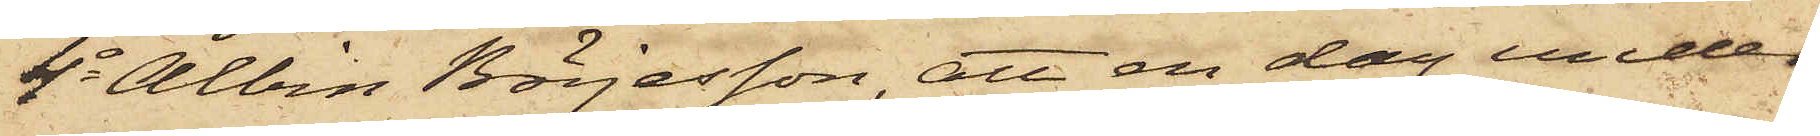4o Albin Börjesson, att en dag under
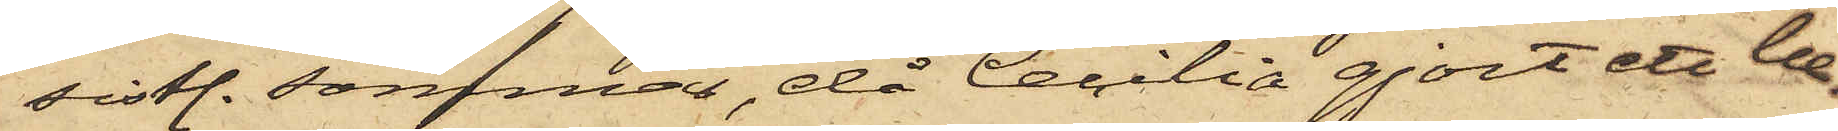sistl. sommar, då Cecilia gjort ett be¬
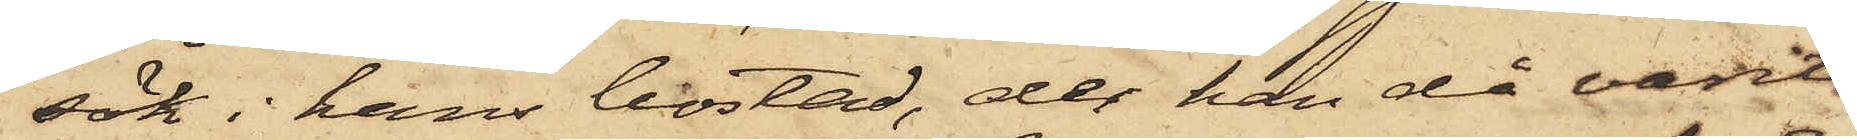sök i hans bostad, der han då varit
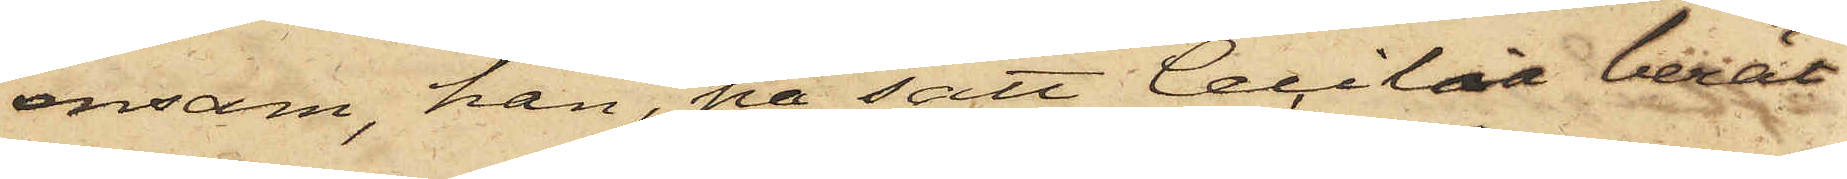ensam, han, på sätt Cecilia berät¬
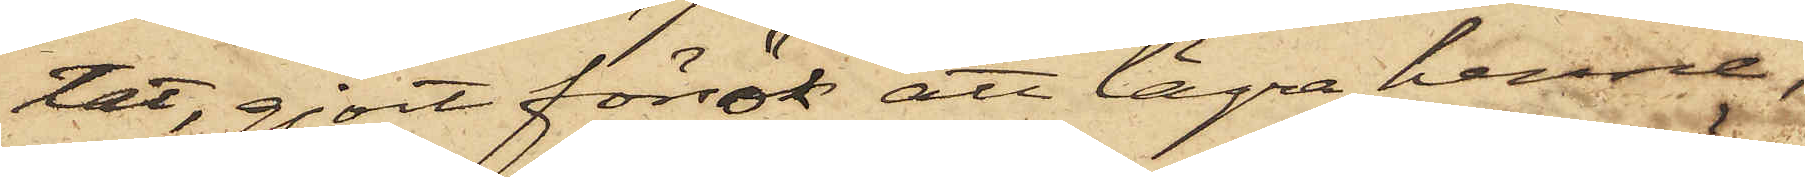tat, gjort försök att lägra henne,
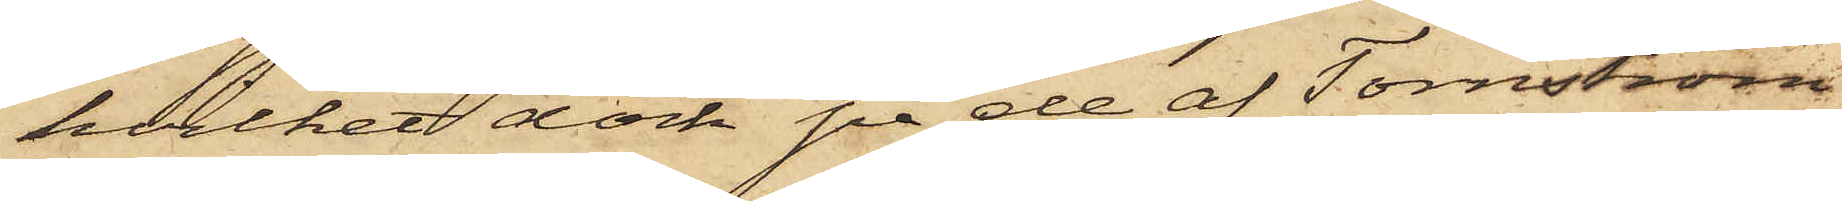hvilket dock på de af Tornström
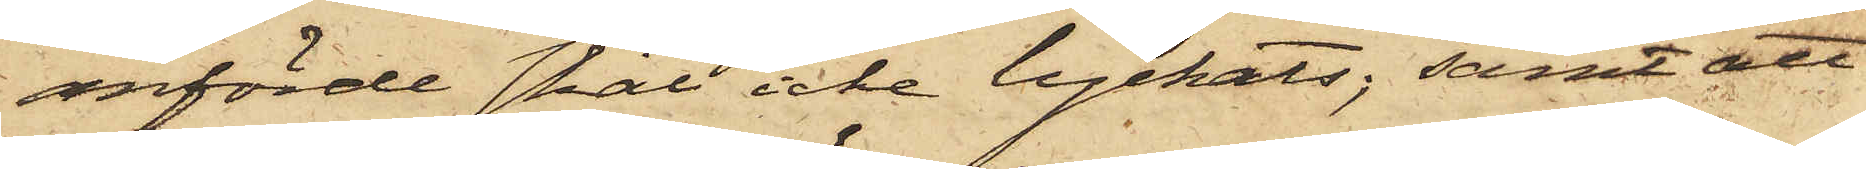anförde skäl icke lyckats; samt att
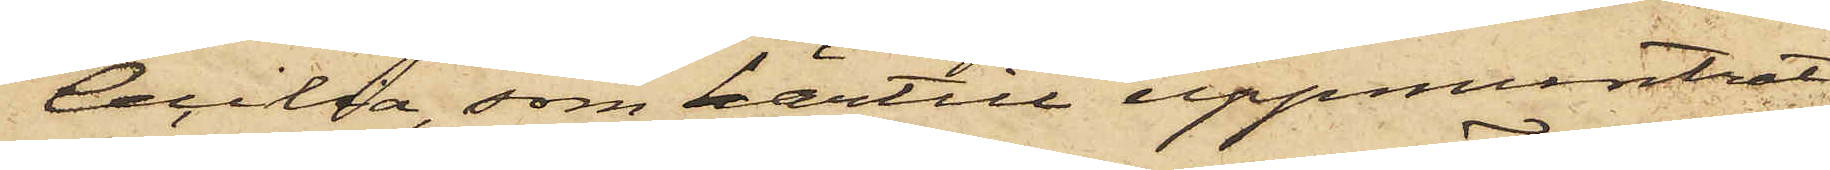Cecilia, som härtill uppmuntrat
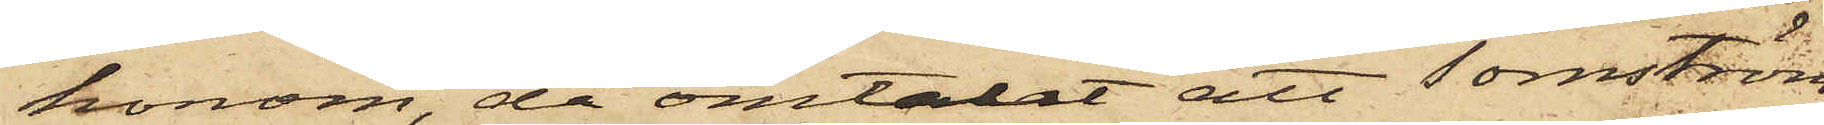honom, då omtalat att Tornström
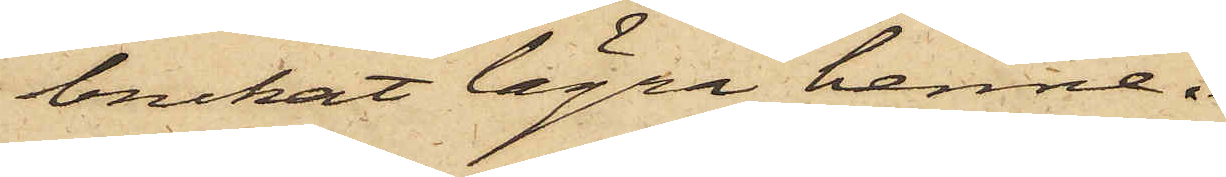brukat lägra henne.
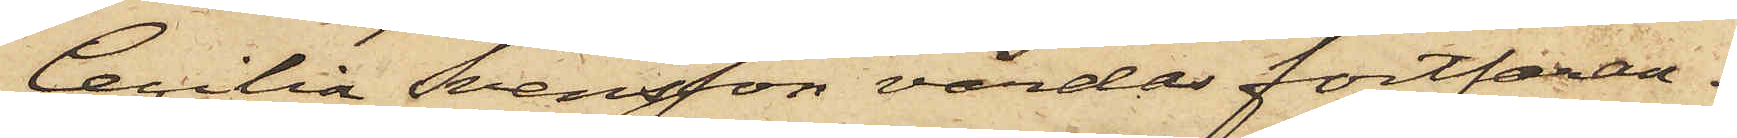Cecilia Svensson vårdas fortfaran¬
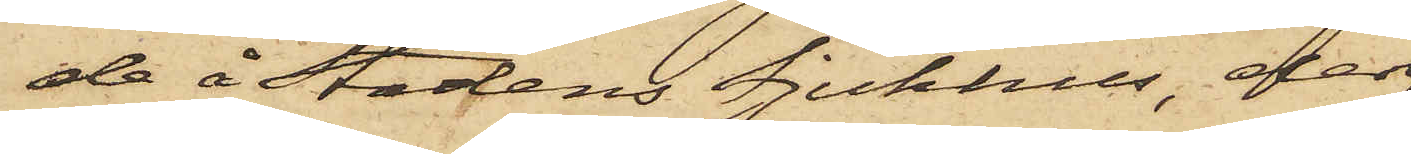de å Stadens Sjukhus, der
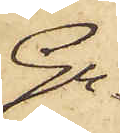Gu¬
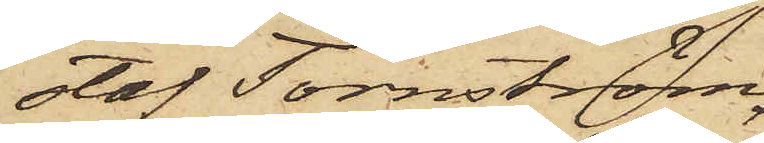staf Tornström,
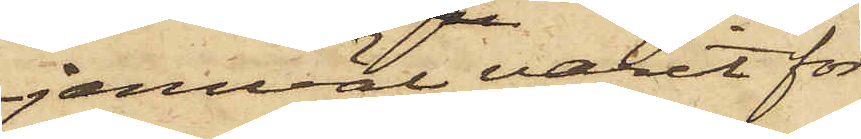jemväl varit för
